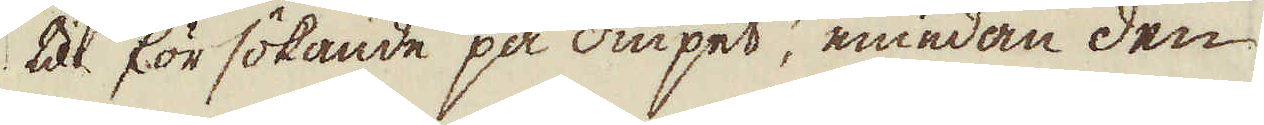til försökande på diupet, emedan den
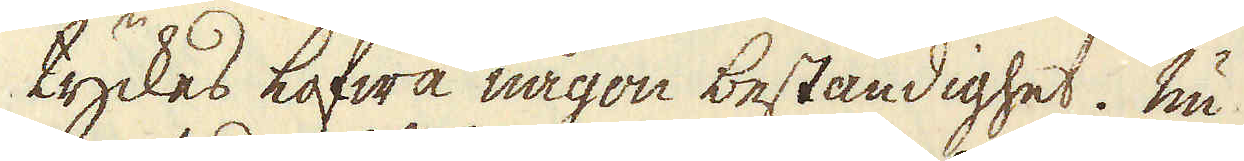tyckes lofwa någon beständighet. Nu
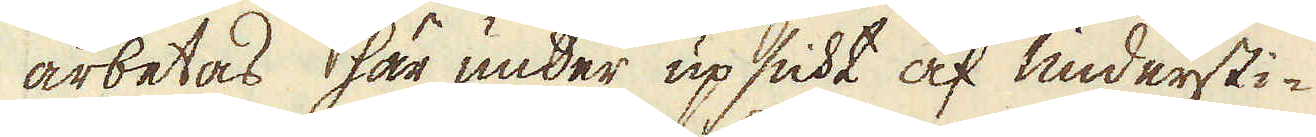arbetas här under upsicht af understi-
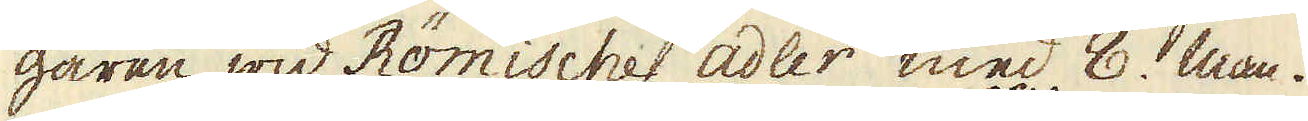garen wid Römische adler med 8. man.
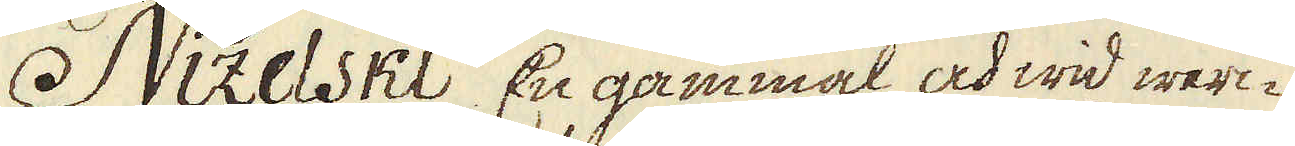 Nizelski En gammal och wid werc-
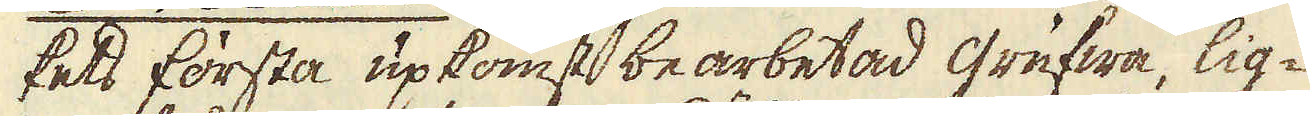kets första upkomst bearbetad grufwa, lig-
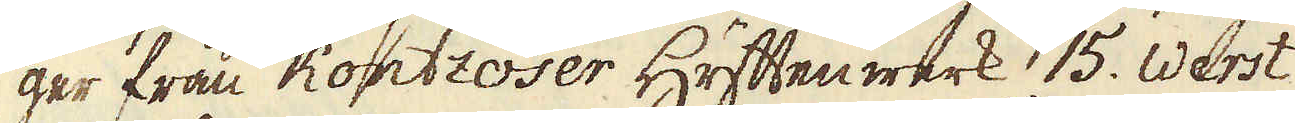ger från Kontzoser Hyttenwerk 15. werst
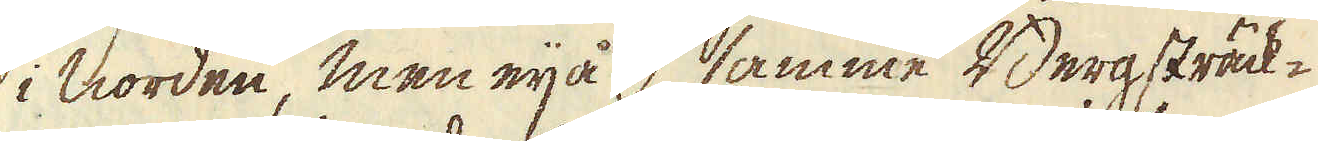i norden, men eij å samme Bergsträck-
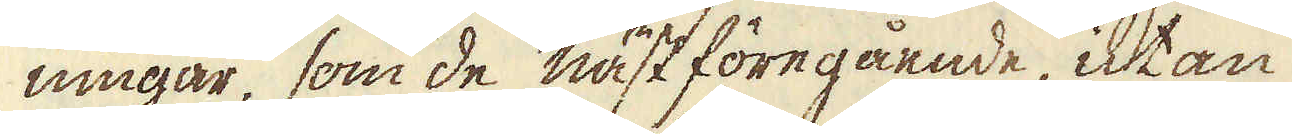ningar, som de näst föregånde, utan
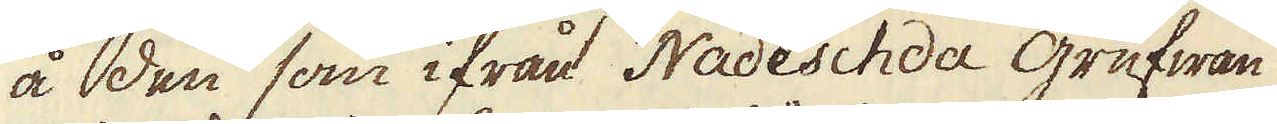å den som ifrån Nadeschda grufwan
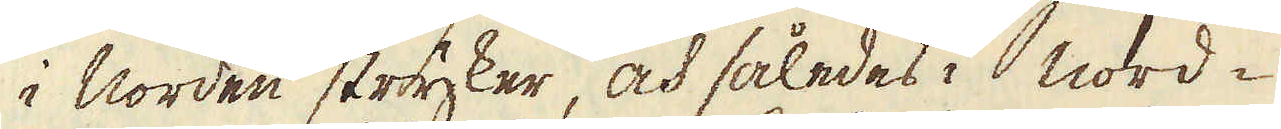i norden stryker, och således i nord-
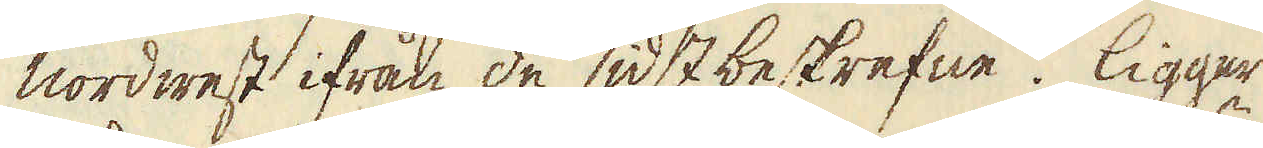nordwest ifrån de sidst beskrefne. Ligger
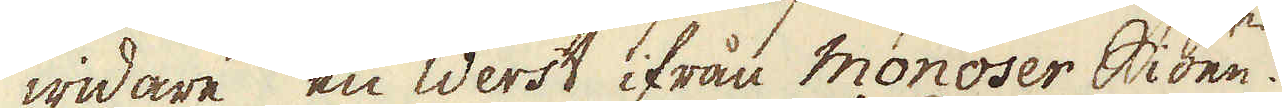widare en werst ifrån Monoser Siöen.
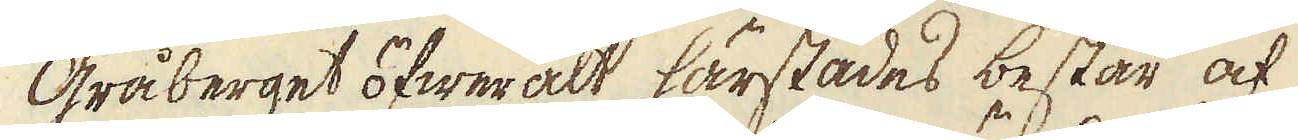Gråberget öfweralt härstädes består af
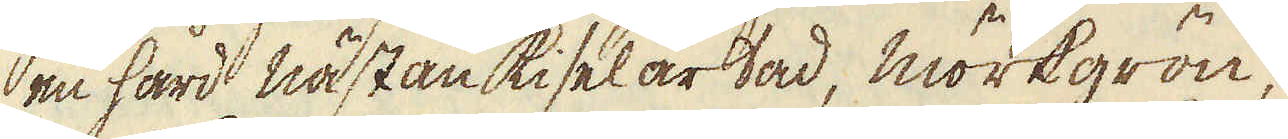en hård nästan kiselartad, mörkgrön,
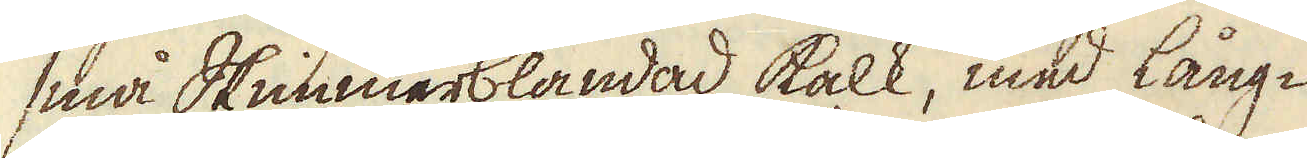små Skimmerblandad kalk, med lång-
